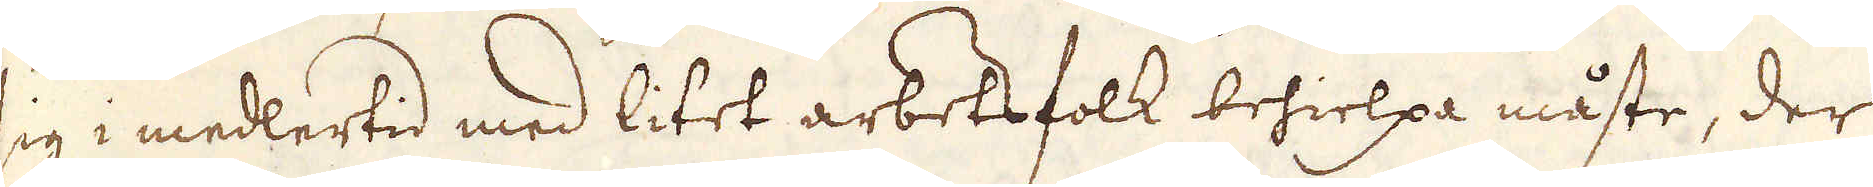sig i medlertid med litet arbetsfolk behielpa måste, der
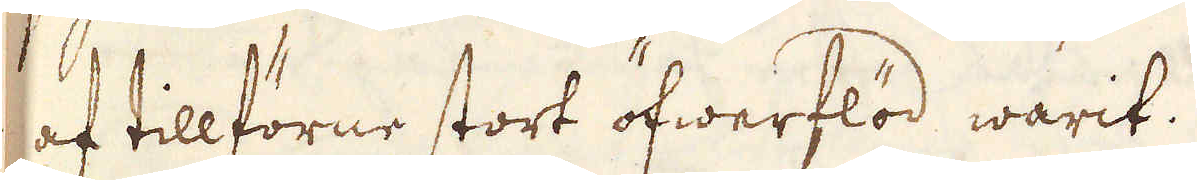af tillförne stort öfwerflöd warit.
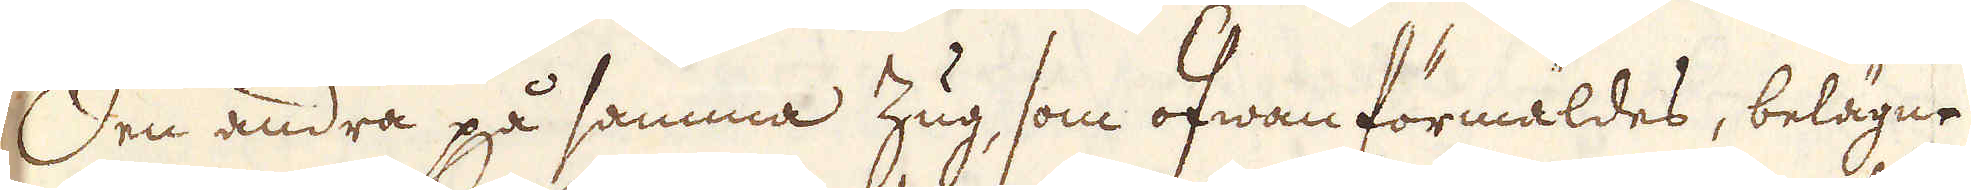Den andra på samma Zug, som ofwan förmäldes, belägne
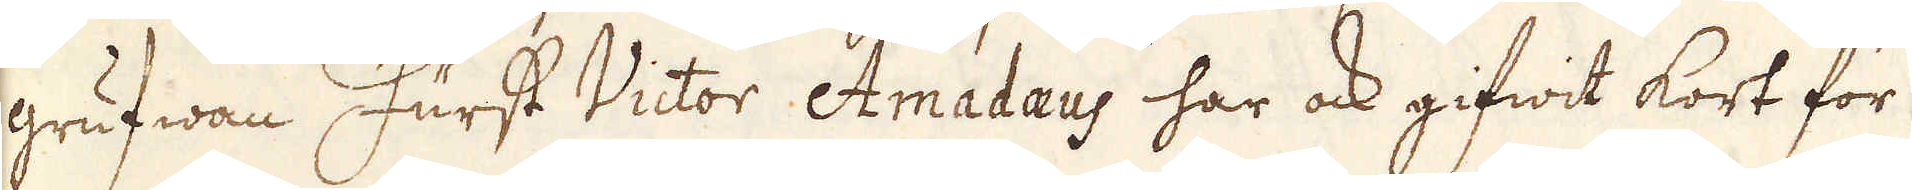grufwan Furst Victor Amadaeus har ock gifwit kort för
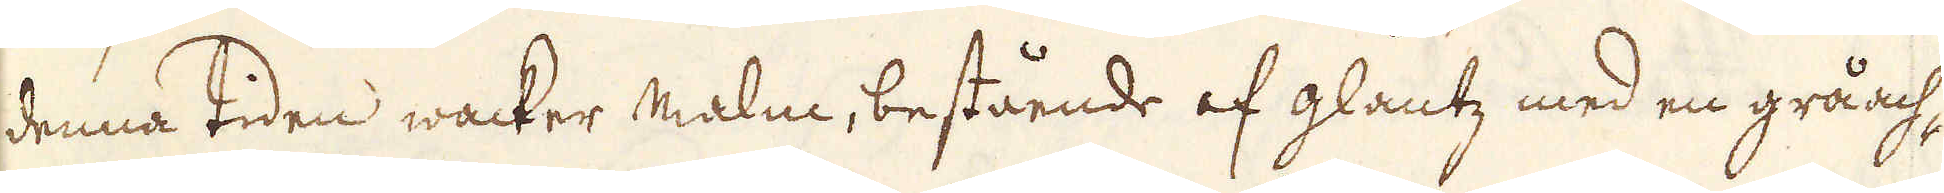denna tiden wacker malm, bestående af glantz med en gråach-
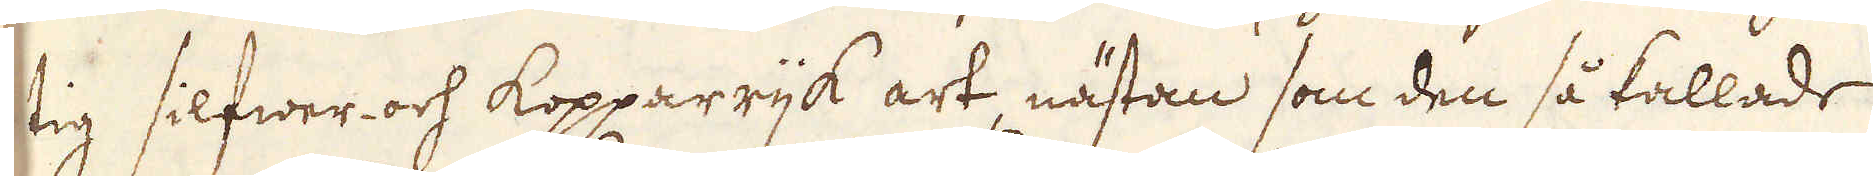tig silfwer och kopparrijk art, nästan som den så kallade
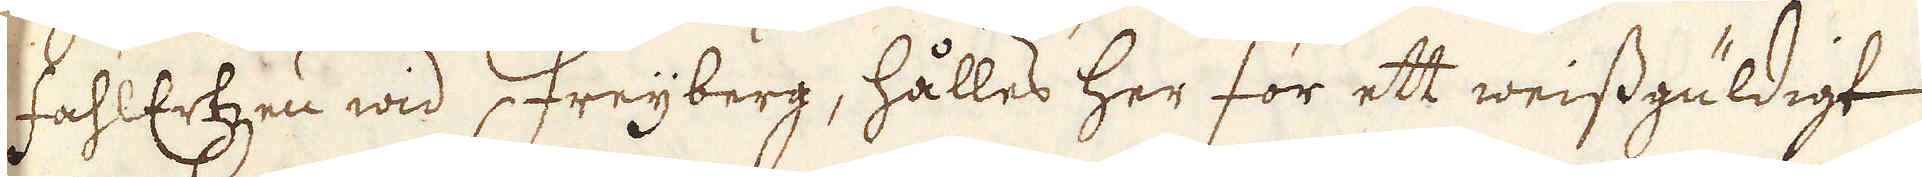FahltErtzen wid Freijberg, hålles her för ett weissguldigt
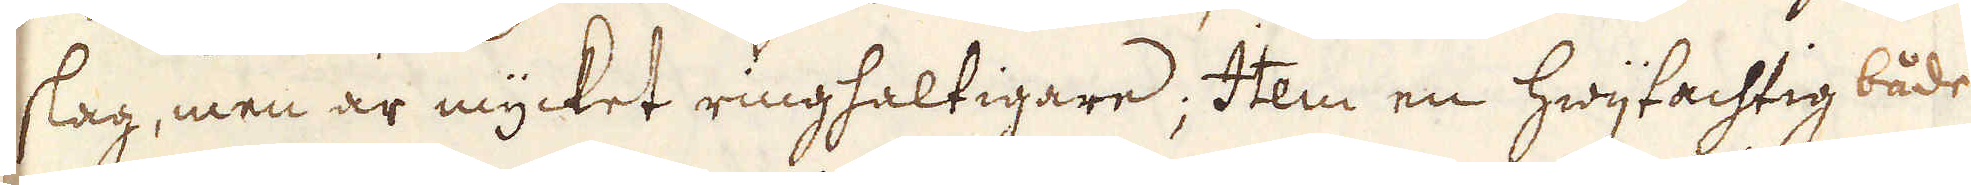slag, men är mycket ringhaltigare; Item en hwijtachtig både
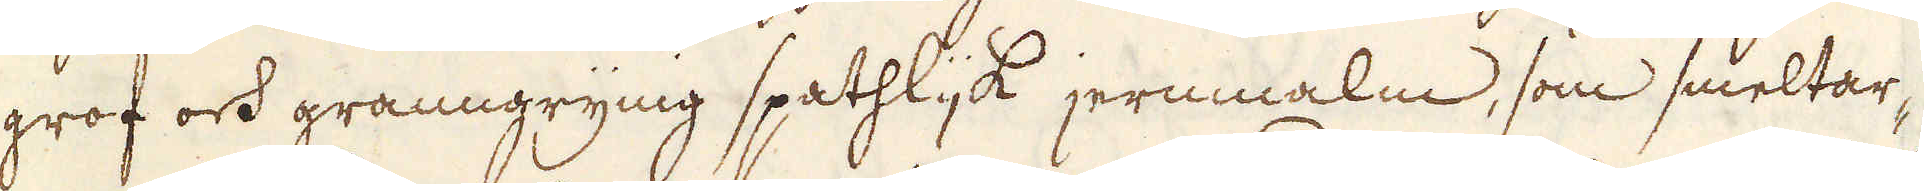grof och granngrynig spathlijk jernmalm, som smeltar-
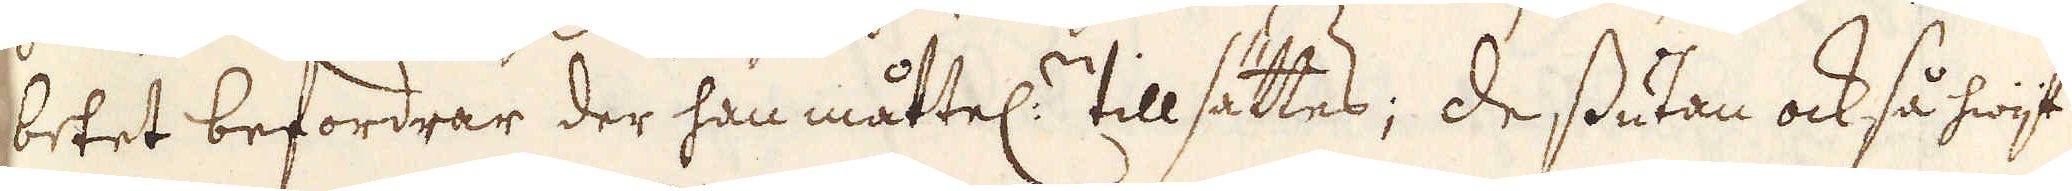betet befordrar der han måttel:n tillsättes; dessutan också hwijt
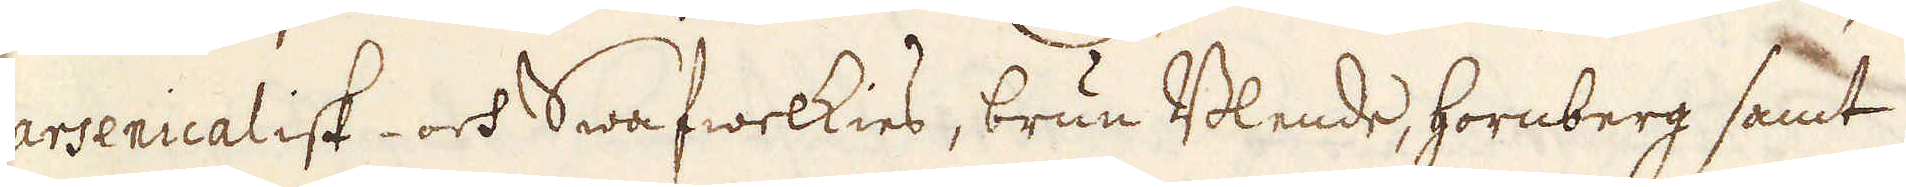arsenicalisk- och Swafwelkies, brun Blende, hornberg samt
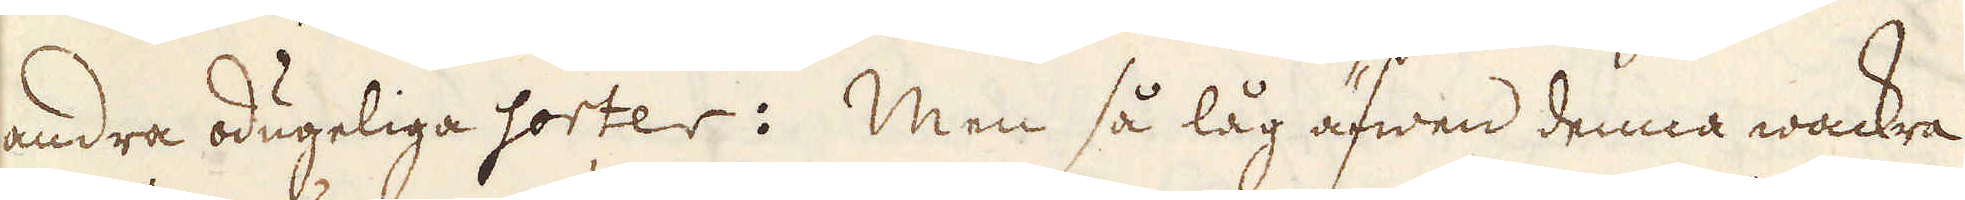andra odugeliga sorter: Men så låg äfwen denna wackra
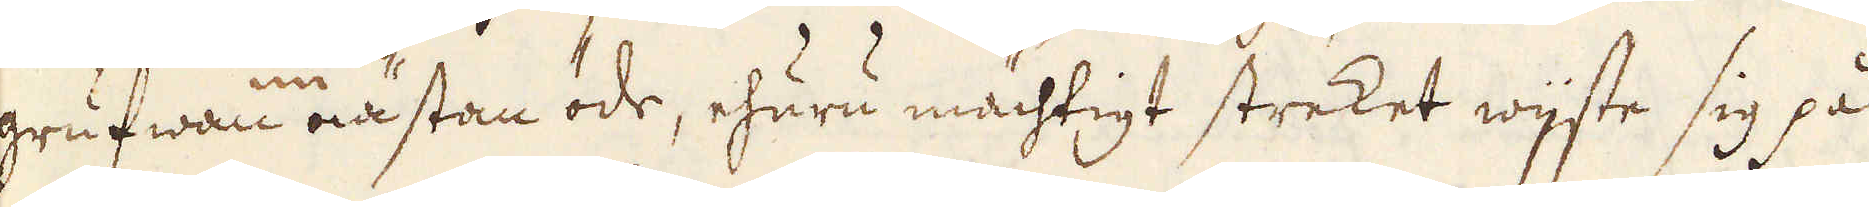grufwan nu nästan öde, ehuru mächtigt streket wijste sig på
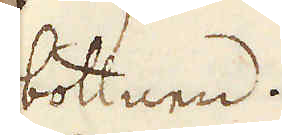bottnen.
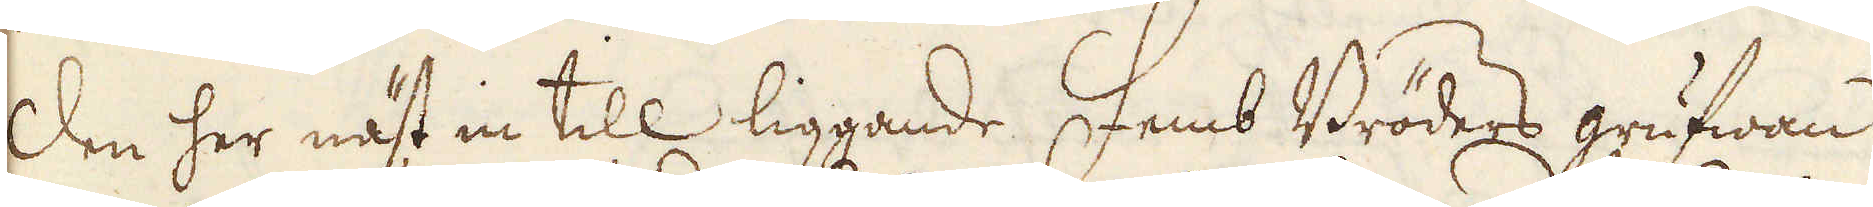Den her näst in till liggande Femb Bröders grufwan
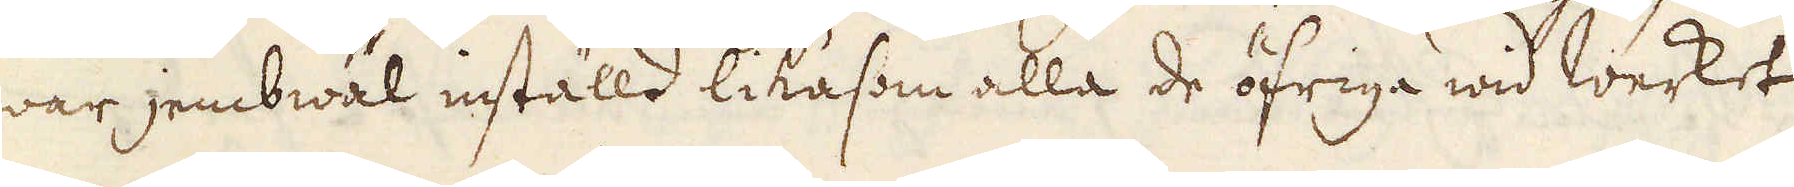war jembwäl inställd likasom alla de öfriga wid Werket
